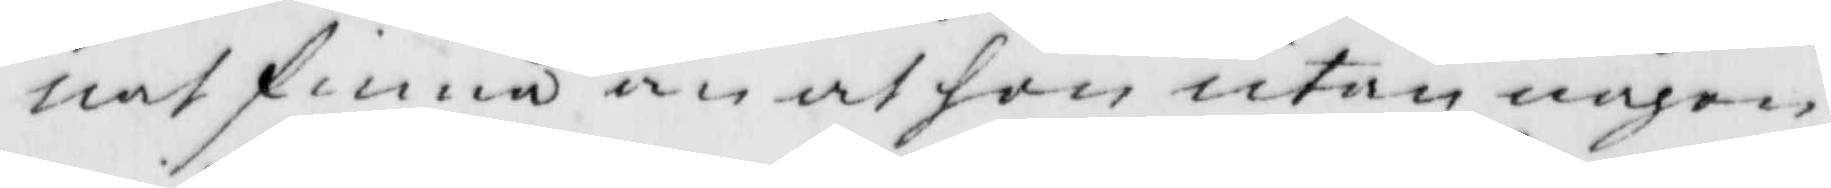nat finna än at hon utan någon
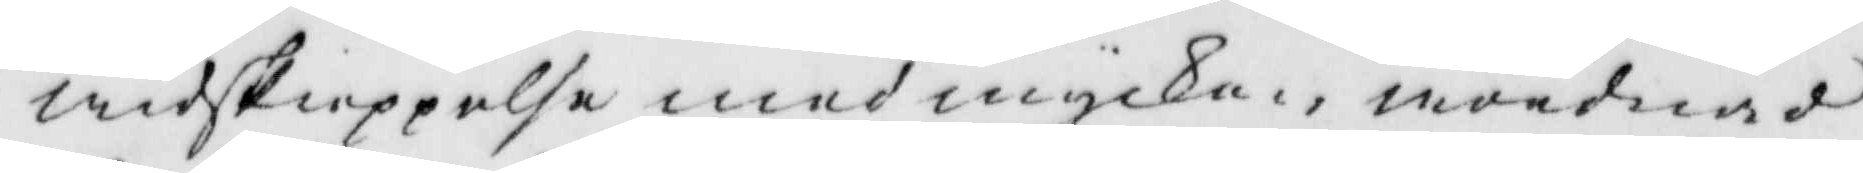widskeppelse med mycken wördnad
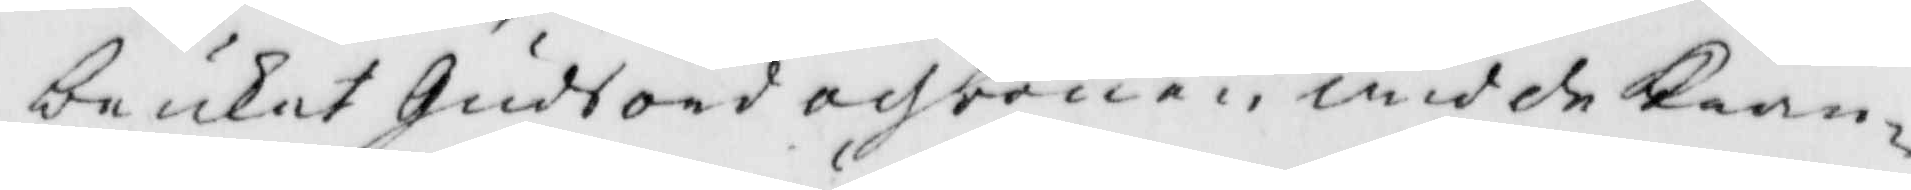brukat Gudsord och bönen wid de Kran¬
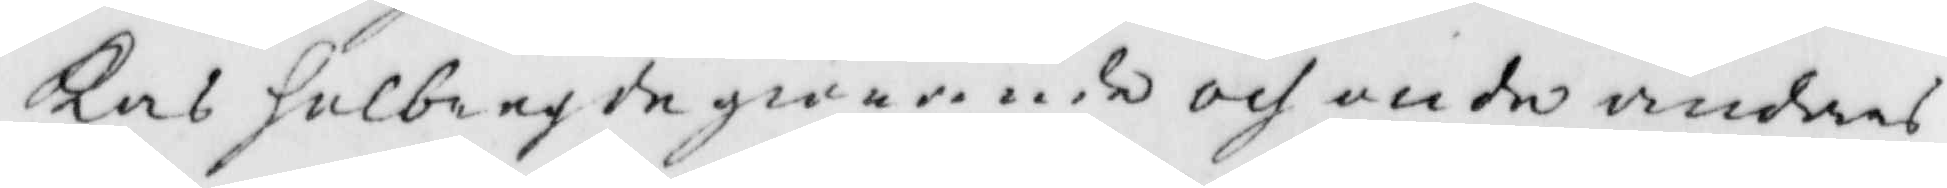kas Helbregdegiörande och onde andars
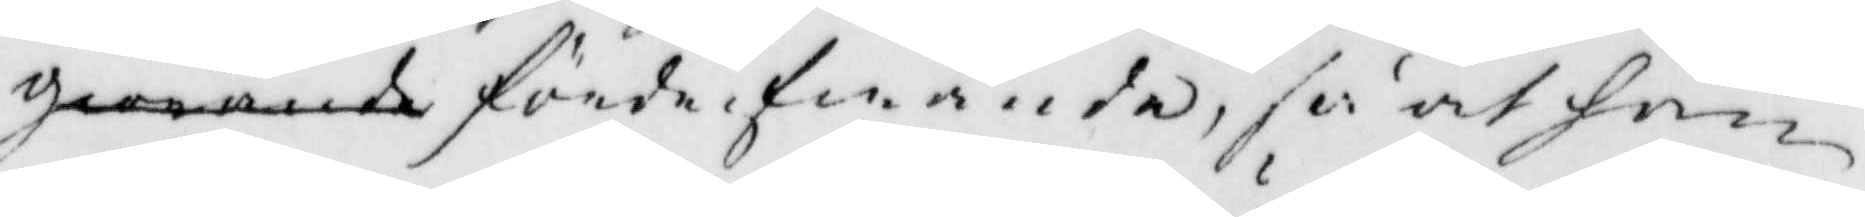gweande förde ifwande, så at han
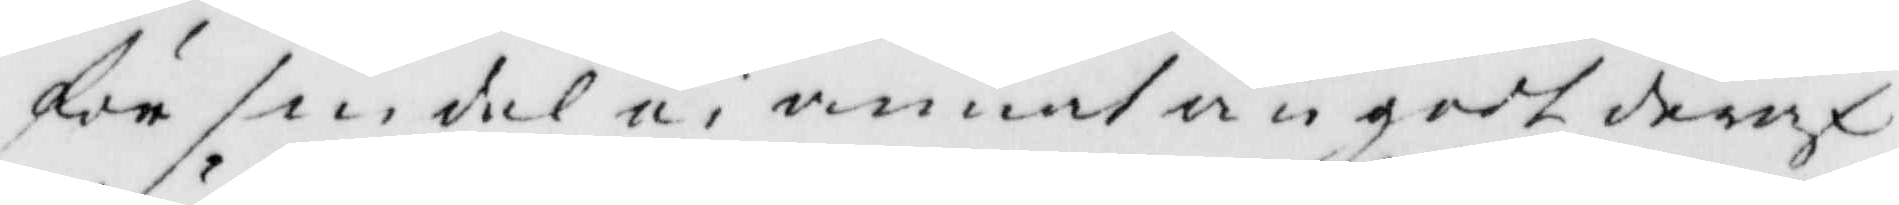för sin del ei annat än gott deraf
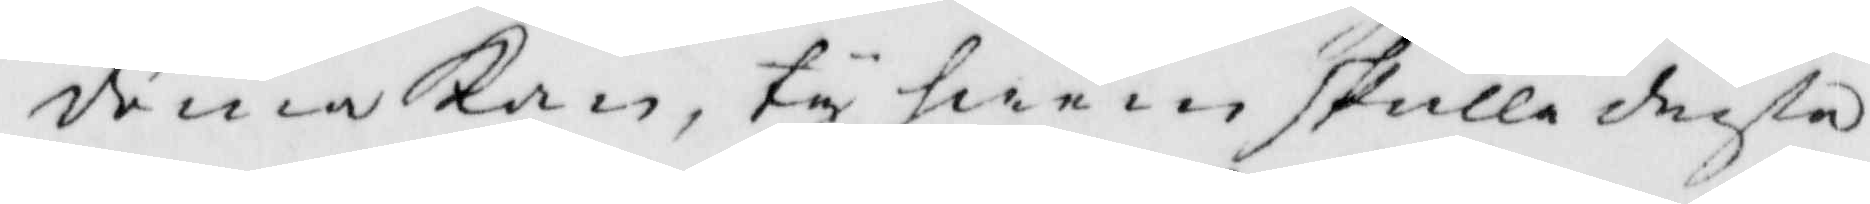drua kan, ty hwem skulle drista
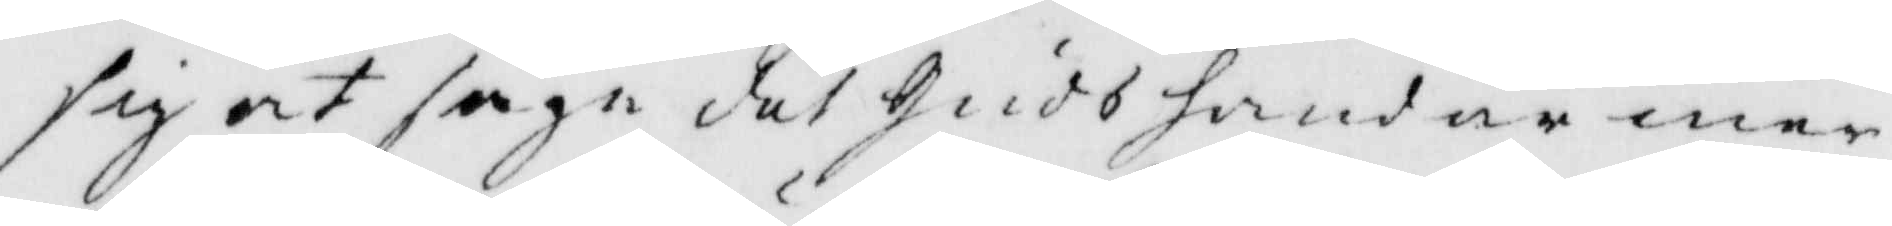ssig at säga det Guds hand är mer
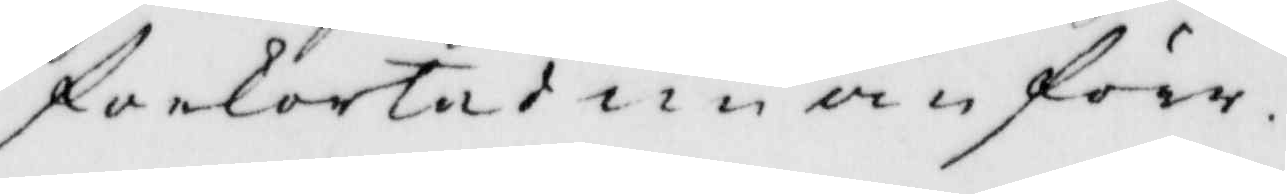forkortad nu än förr.
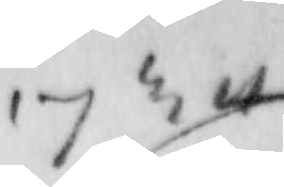1734
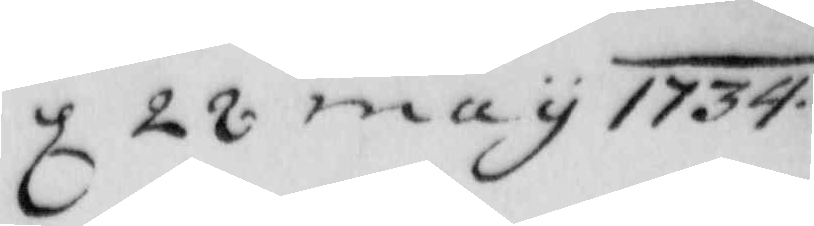d 22 may 1734
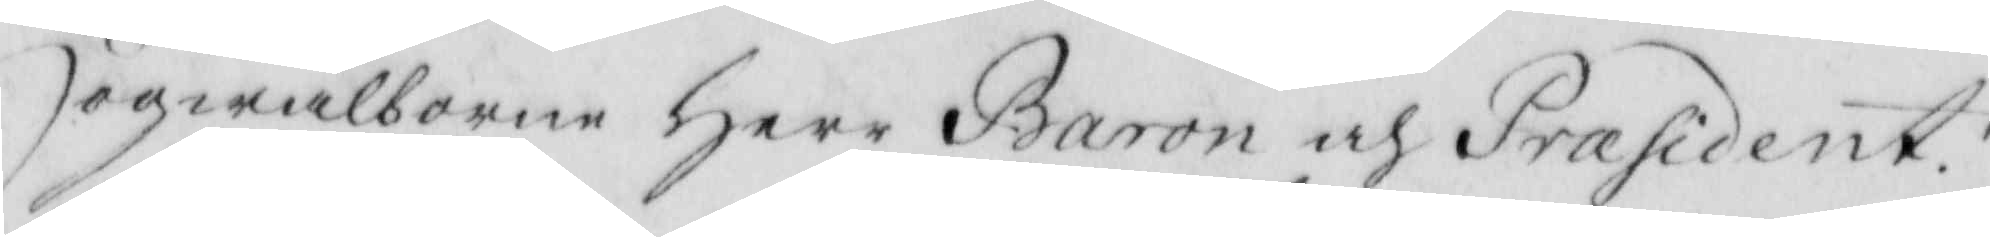Högwälborne Herr Baron och Præsident
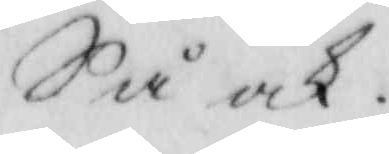Så ock
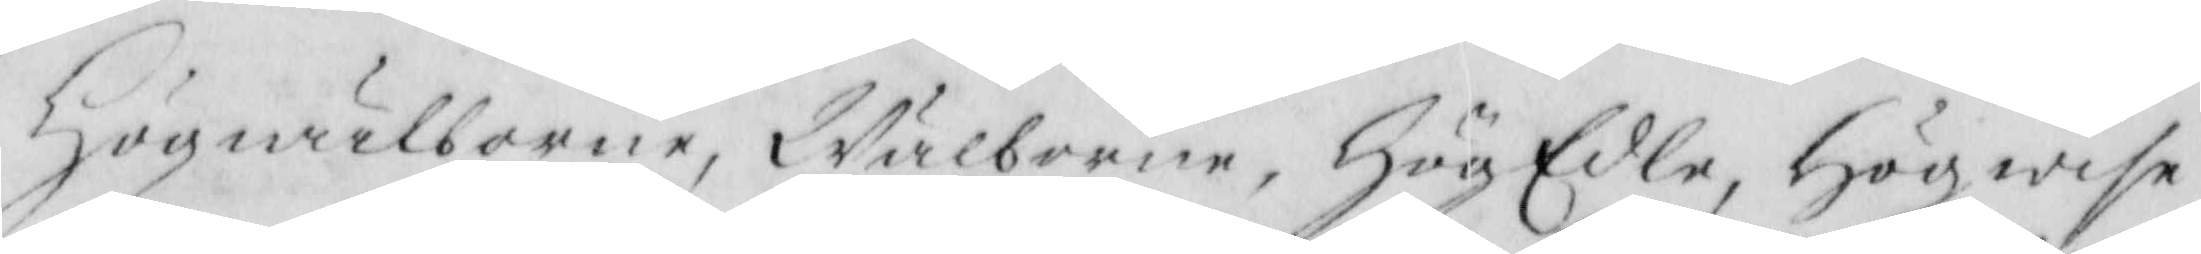Högwälborne, Wälborne, HögEdle, Högwise
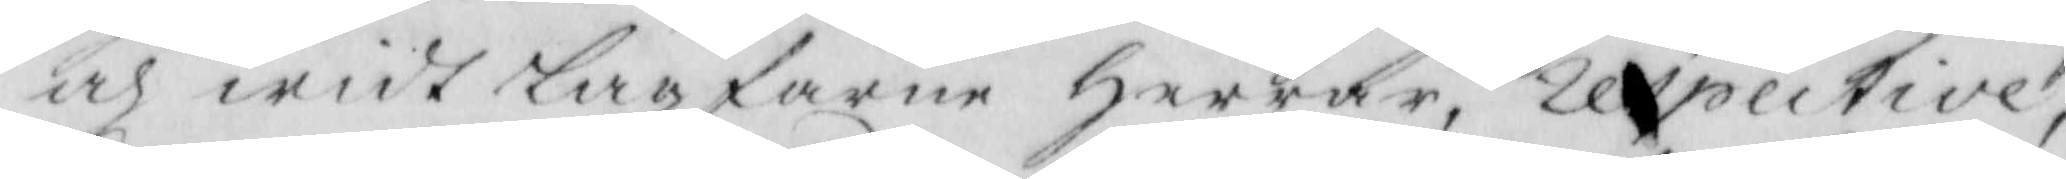och widt Lagfarne Herrar, respective
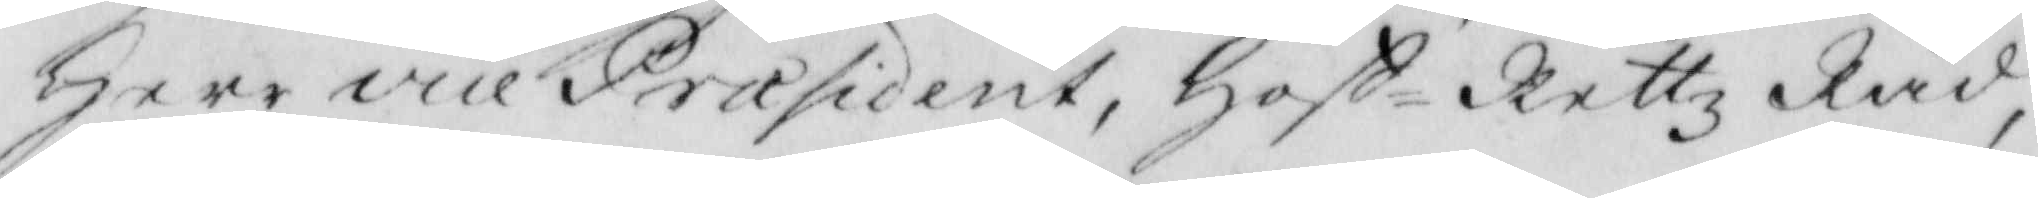Herr vice Præsident, Hoff- Rettz Råd,
